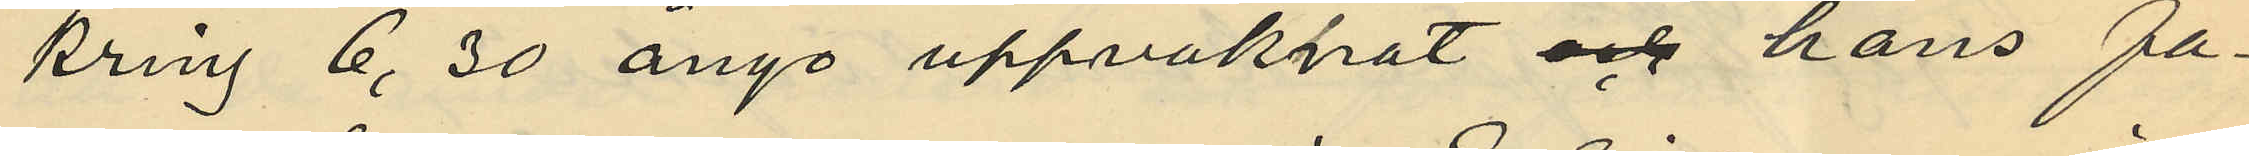kring 6,30 ånyo uppvaknat och hans fa¬
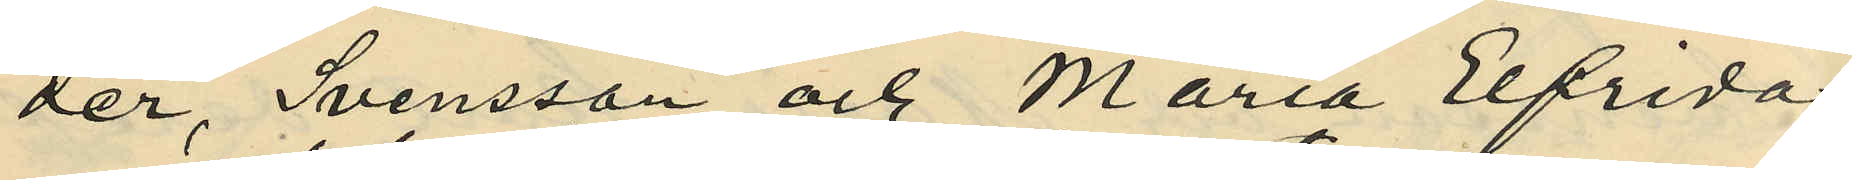der, Svensson och Maria Elfrida
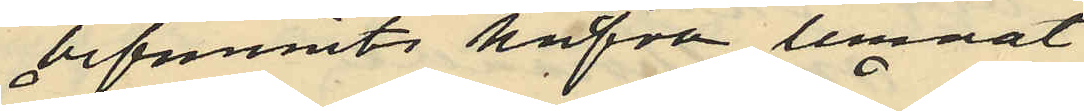befunnits hafva lemnat
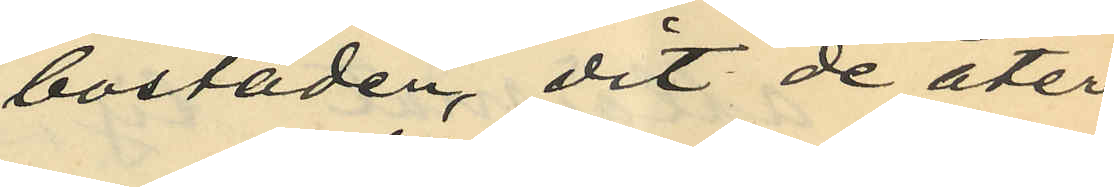bostaden, dit de åter¬
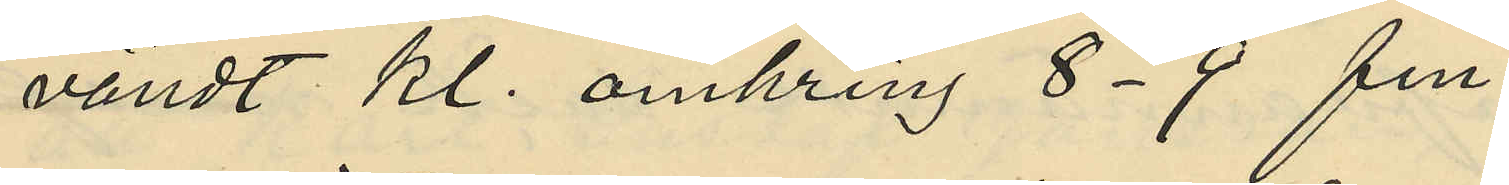vändt kl. omkring 8-9 fm
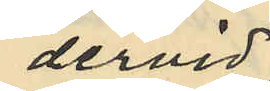dervid
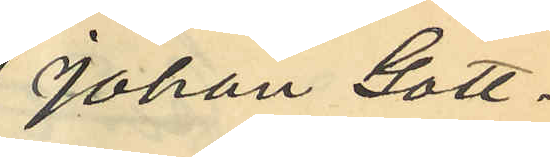Johan Gott¬
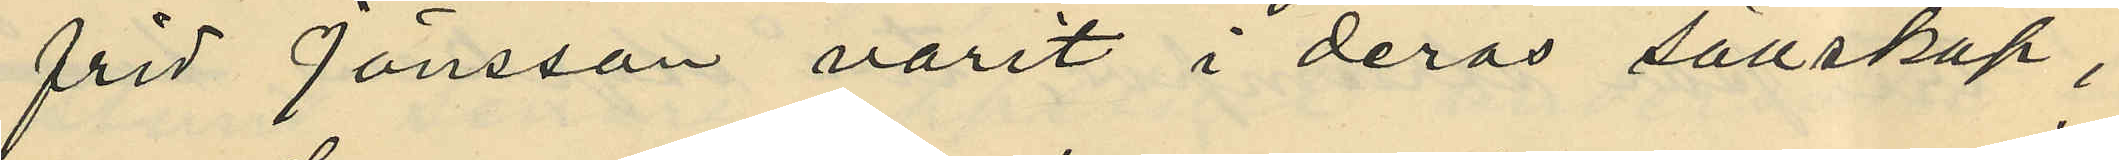frid Jönsson varit i deras sällskap,
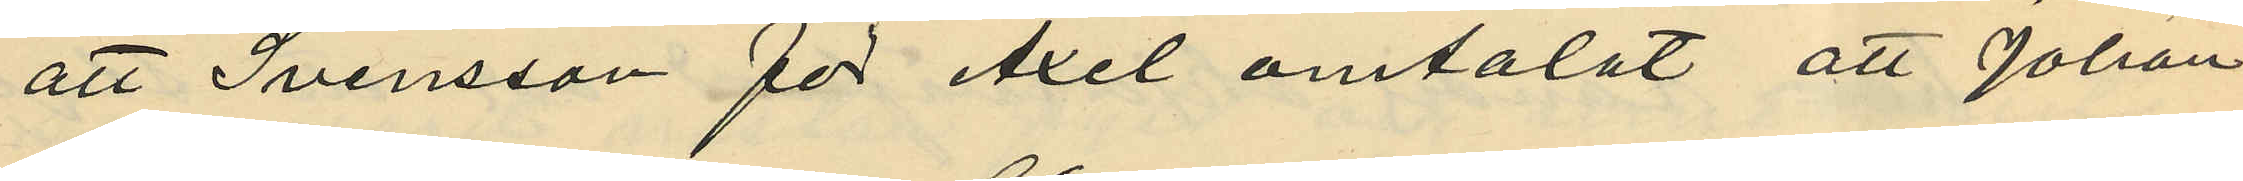att Svensson för Axel omtalat att Johan
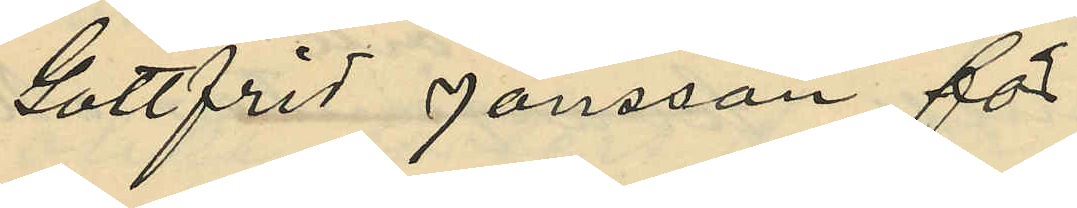gottfrid Jönsson fört
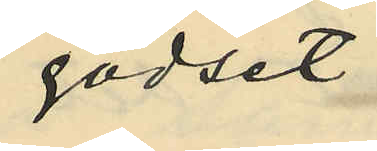godset
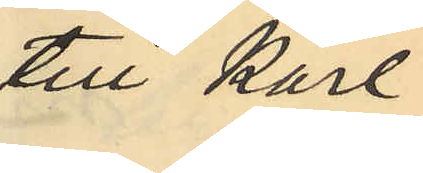till Karl
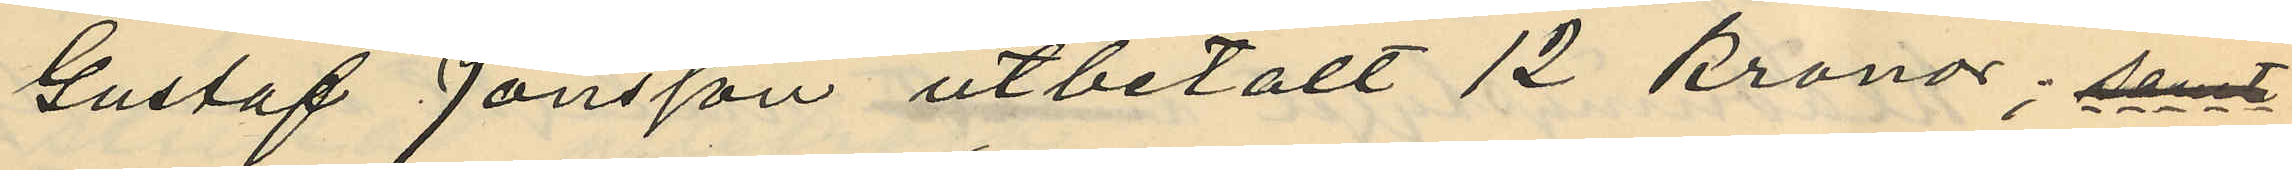Gustaf Jönsson utbetalt 12 kronor; samt
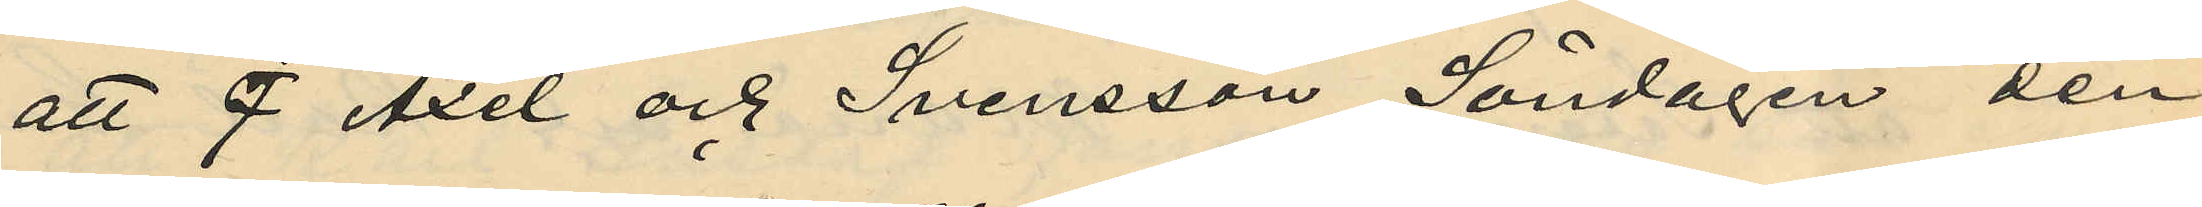att  Axel och Svensson Söndagen den
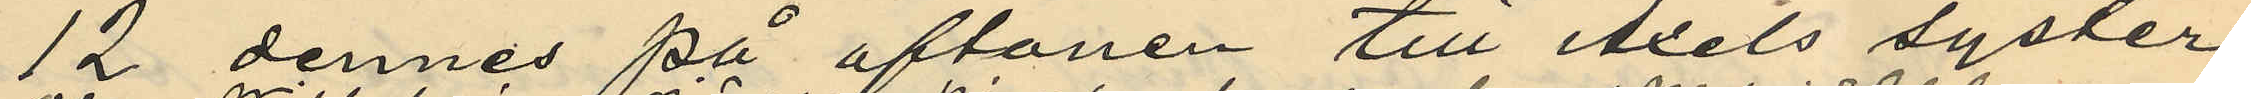12 dennes på aftonen till Axels syster
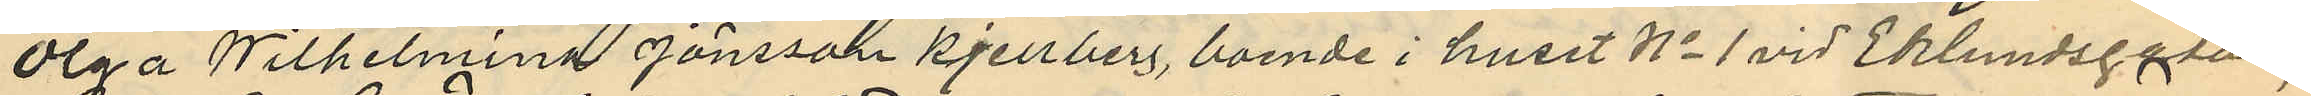Olga Wilhelmina Jönsson Kjellberg, boende i huset No 1 vid Eklundsgatan,
